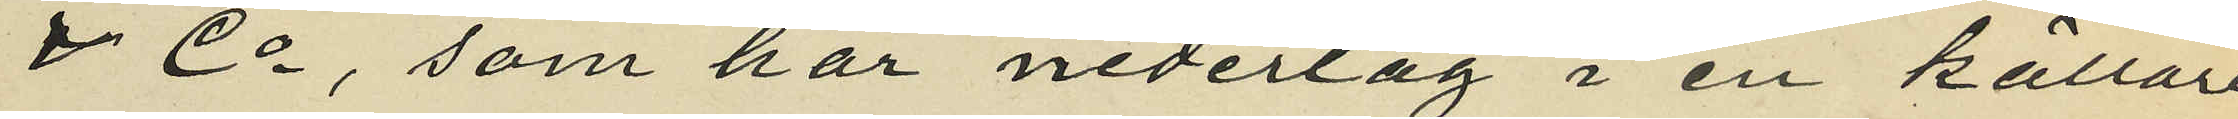& Co, som har nederlag i en källare
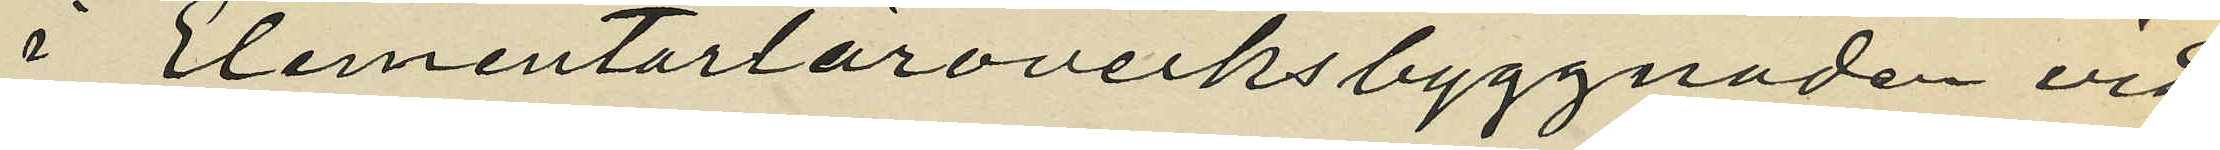i Elementarläroverksbyggnaden vid
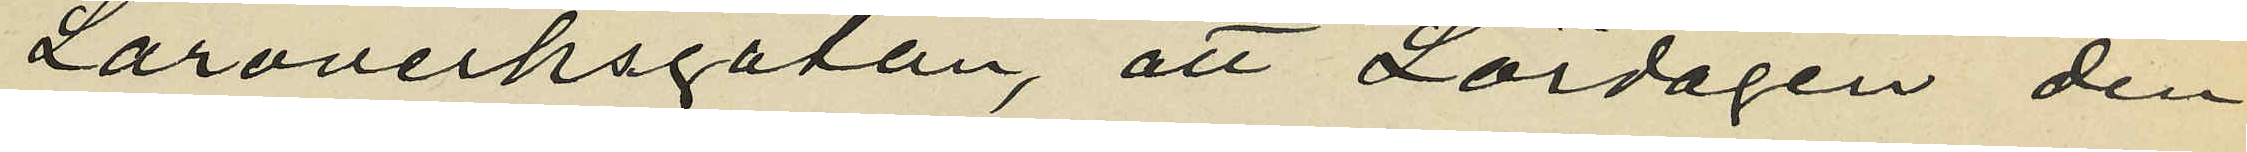Läroverksgatan, att Lördagen den
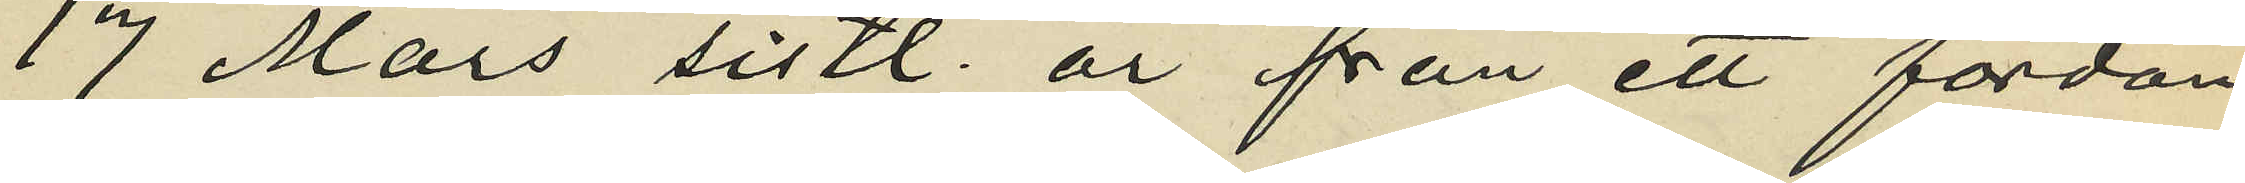17 Mars sistl. år från ett fordon
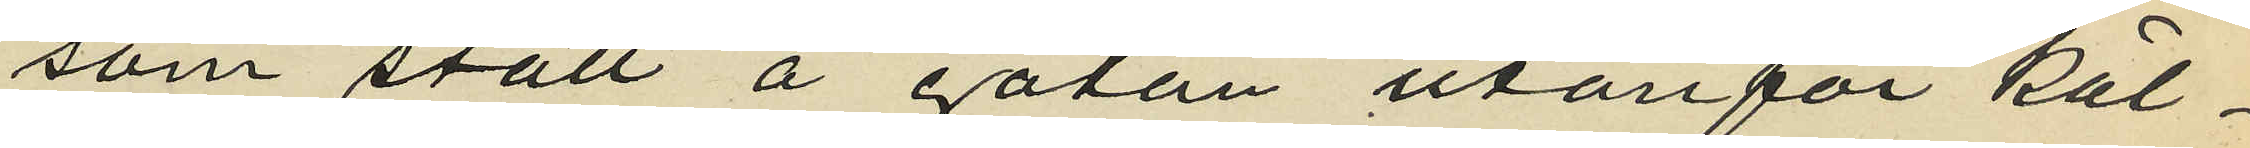som stått å gatan utanför käl¬
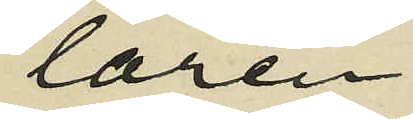laren
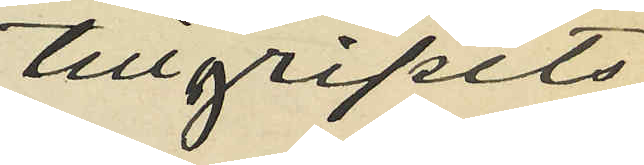tillgripits
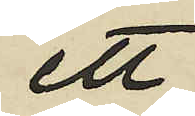ett
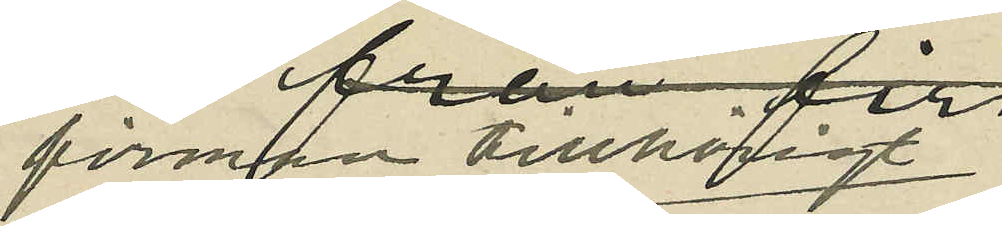firman tillhörigt
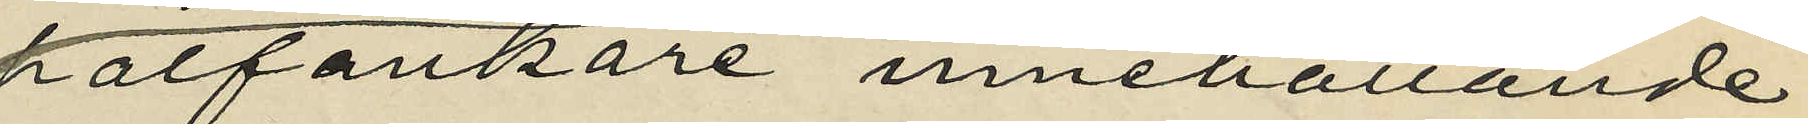halfankare innehållande
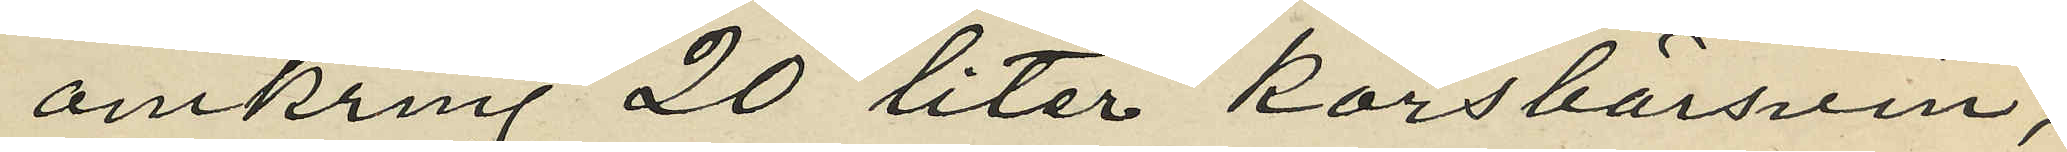omkring 20 liter körsbärsvin,
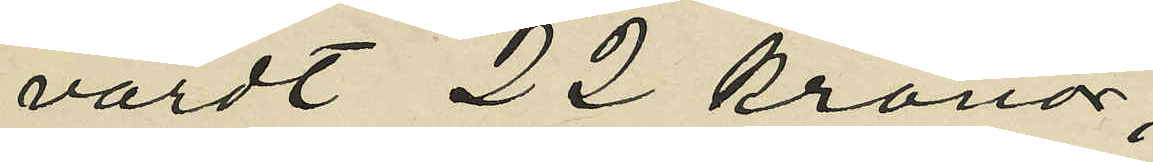värdt 22 kronor;
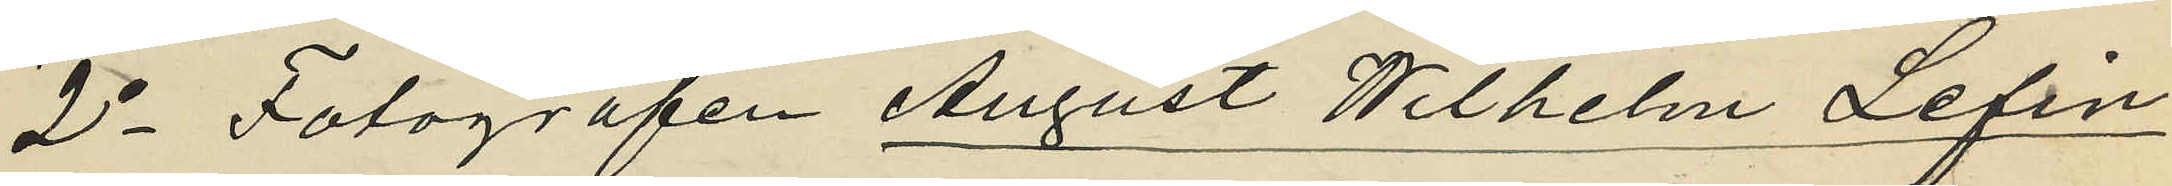2o Fotografen August Wilhelm Lefin,
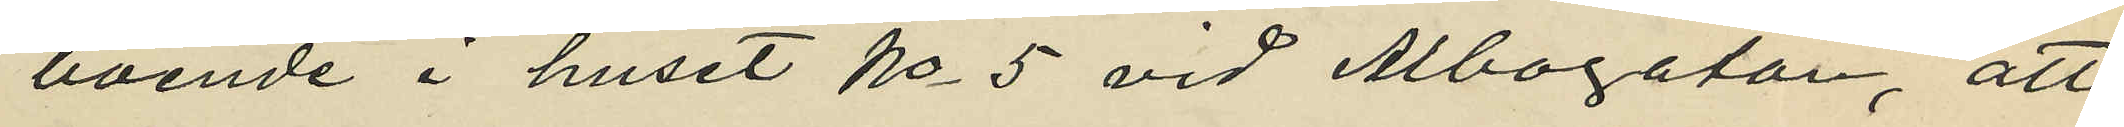boende i huset No 5 vid Albogatan, att
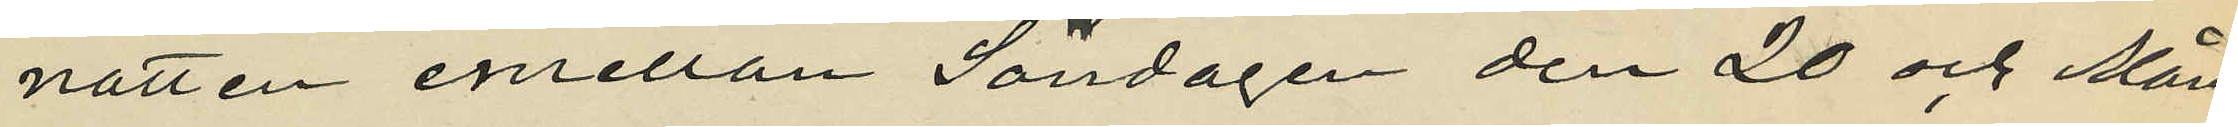natten emellan Söndagen den 20 och Mån¬
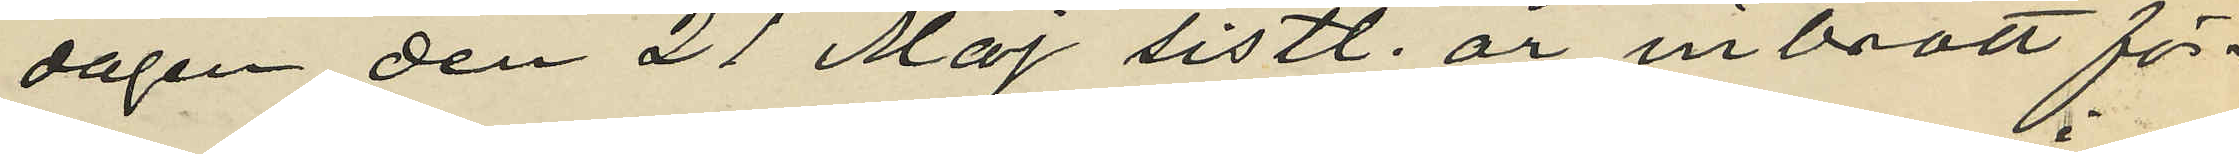dagen den 21 Maj sistl. år inbrott för¬
